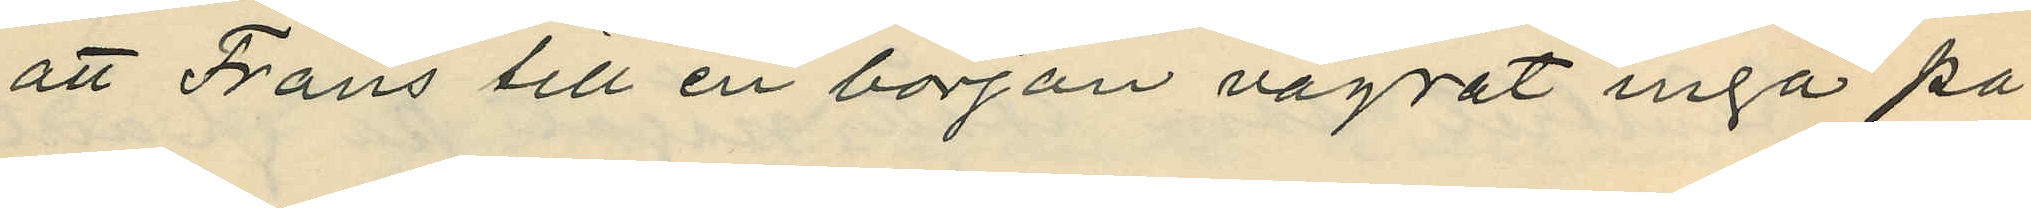att Frans till en början vägrat ingå på
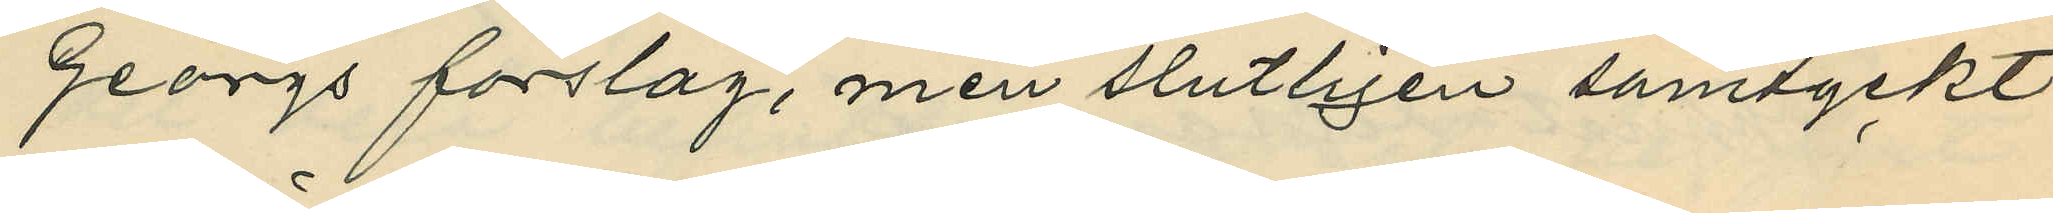Georgs förslag, men slutligen samtyckt
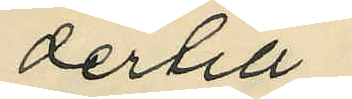dertill;
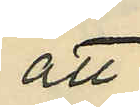att
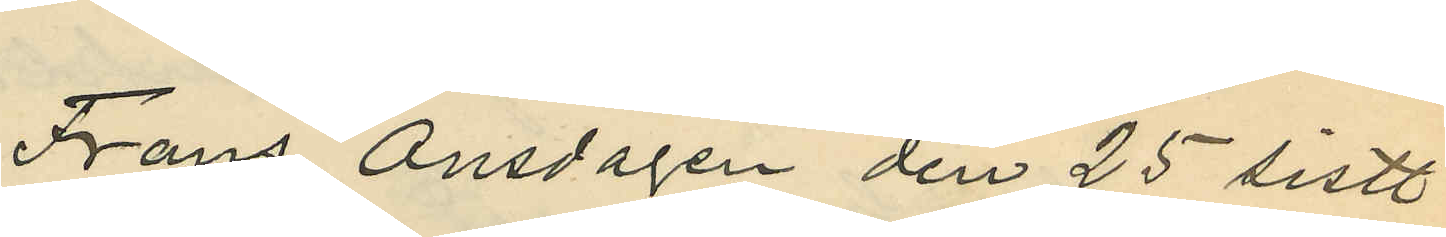Frans Onsdagen den 25 sistl.
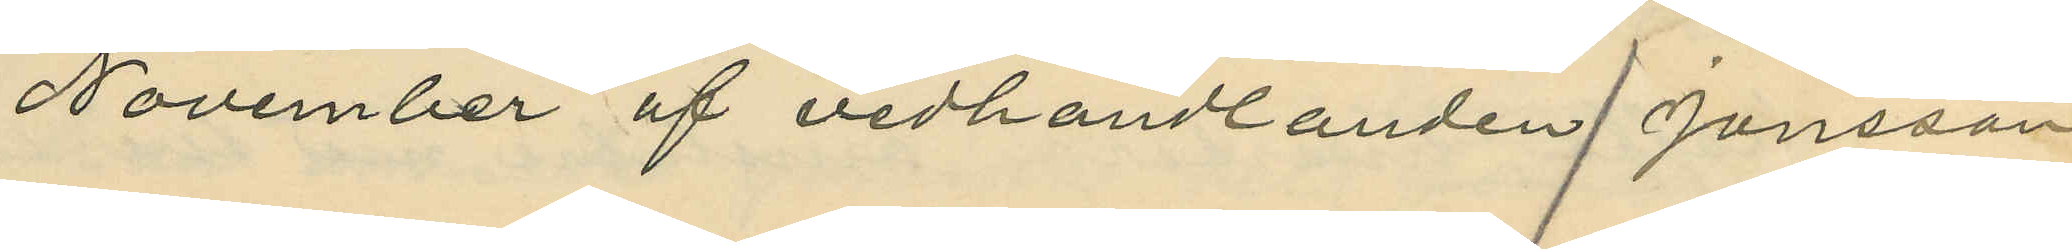November af vedhandlanden Jonsson
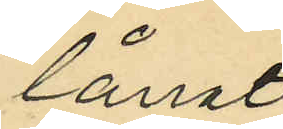lånat
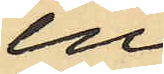en
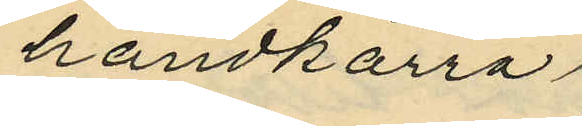handkärra
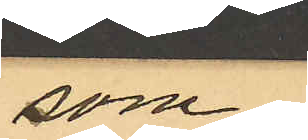som
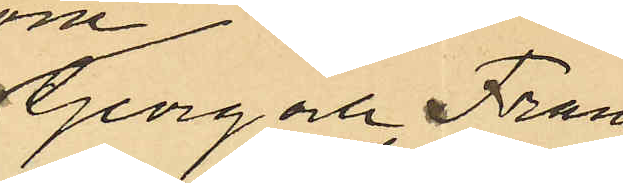Geoorg och Frans
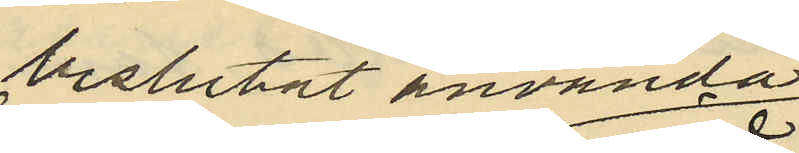beslutat använda
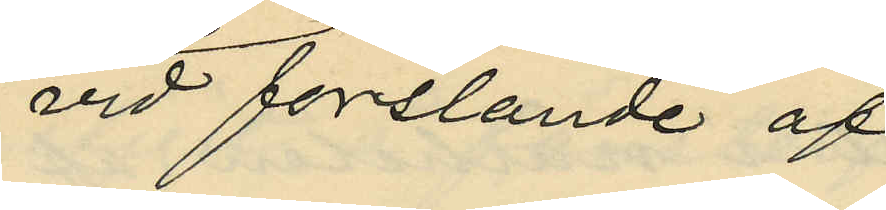vid forslande af
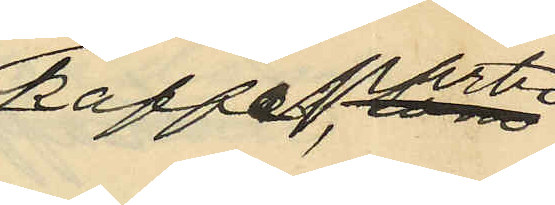kaffeparti,
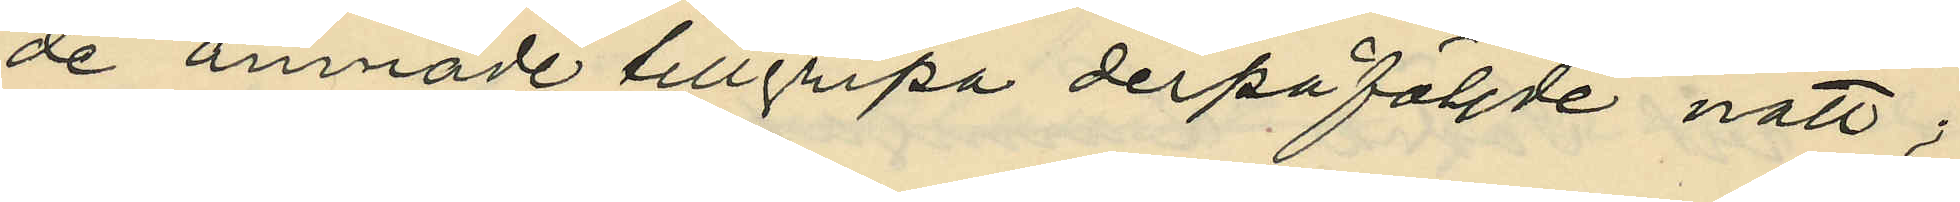de ämnade tillgripa derpåföljde natt;
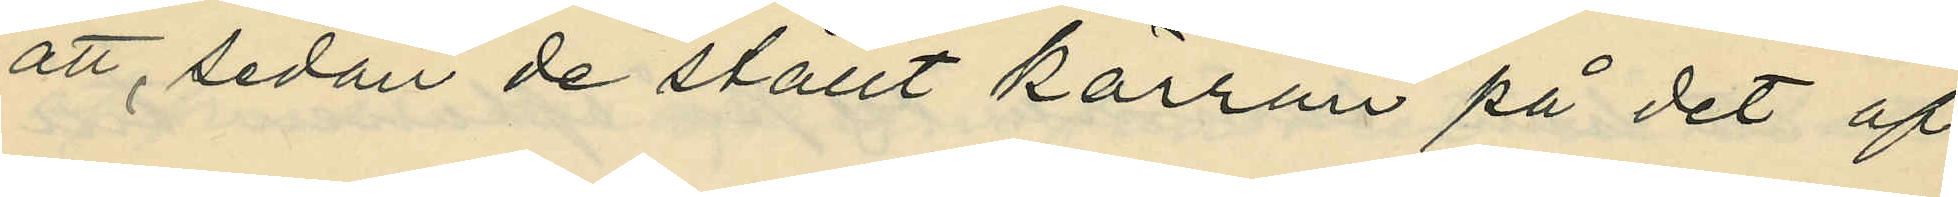att, sedan de ställt kärran på det af
